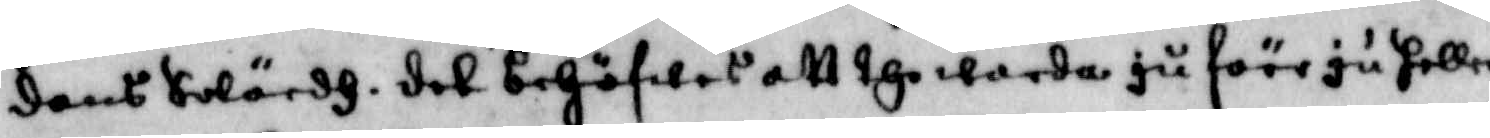dens Swärd, det behöfwes att the warda ju förr ju heller
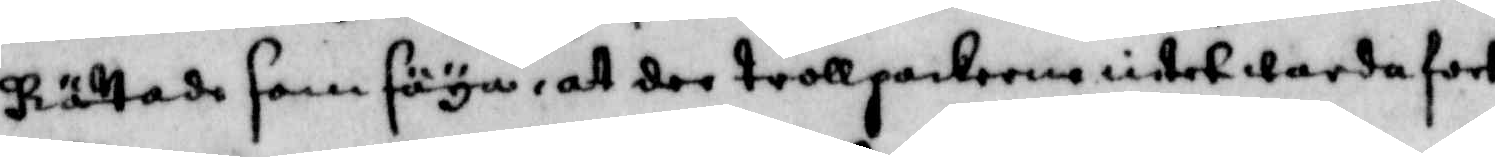Rättade som säya, att der trollpackerne intet warda fort
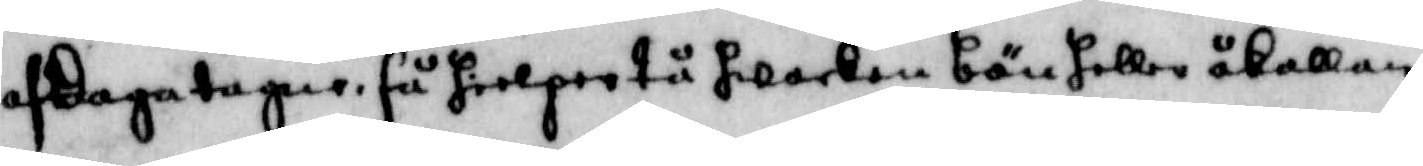afdagatagne, så hielper tå hwarken bön eller åkallan,
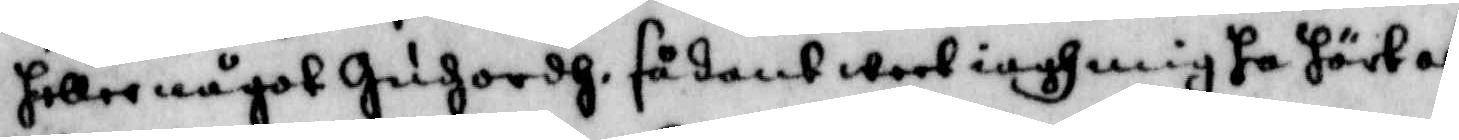heller något Gudhz ordh, sådant weet iagh mig ha hört af
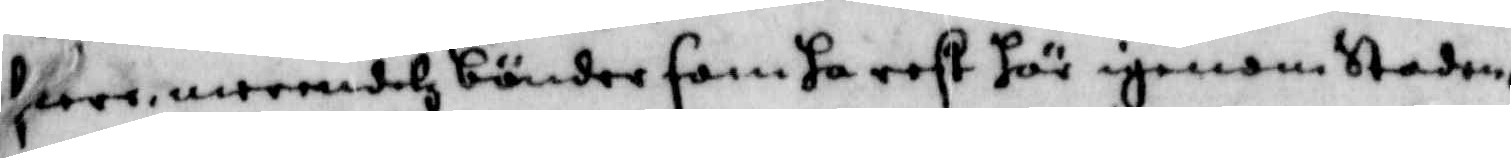flere, merendelz bönder som ha rest här igenom Staden,
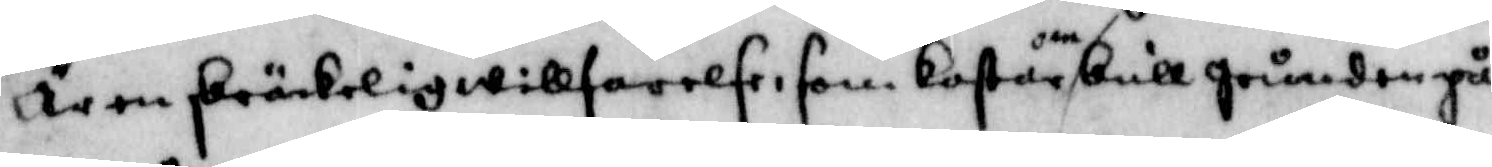Är en skräckelig willfarelse som kastar omkull grunden på
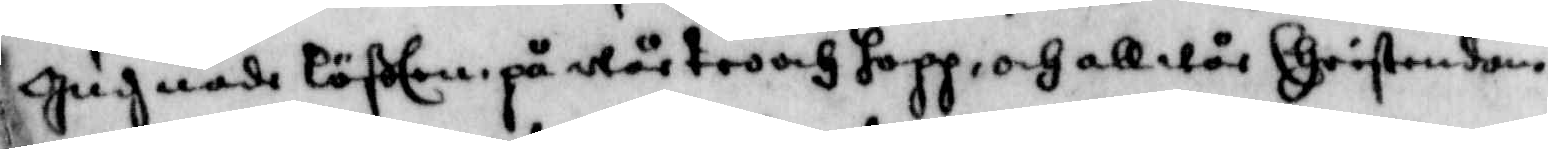gudz nåde löften på wår tro och hopp, och all wår Christendom,
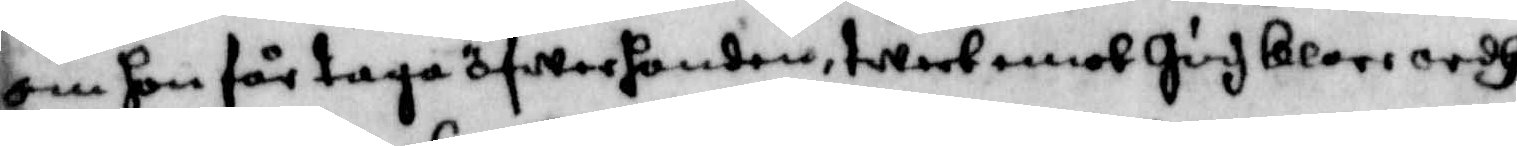om hon får taga öfwer handen, twert emot gudz klare ordh
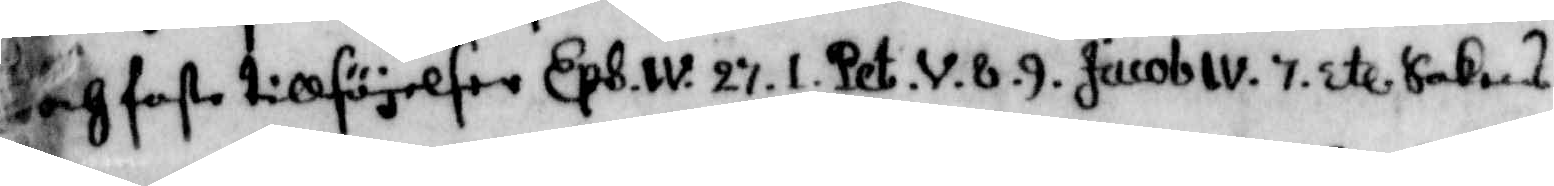och faste tillsäjelser Eps.w.27.1.Pet.v.8.9. Jacob IV.7. etc saknas
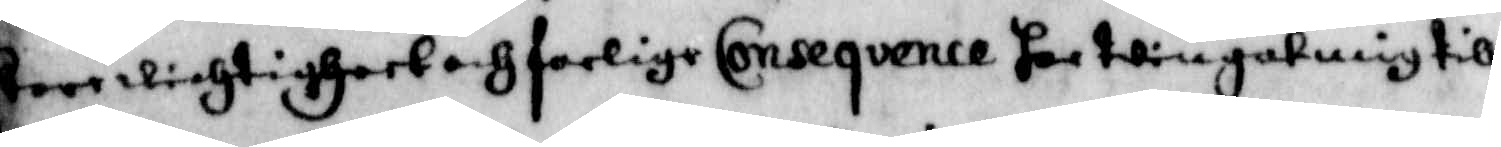store wichtigheet och farlige Conseqvence har twinat mig till
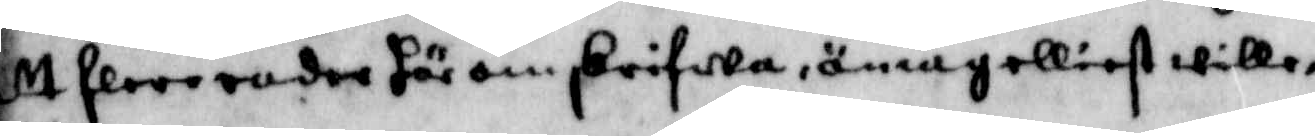att flere rader här omskrifwa, än iag elliest wille,
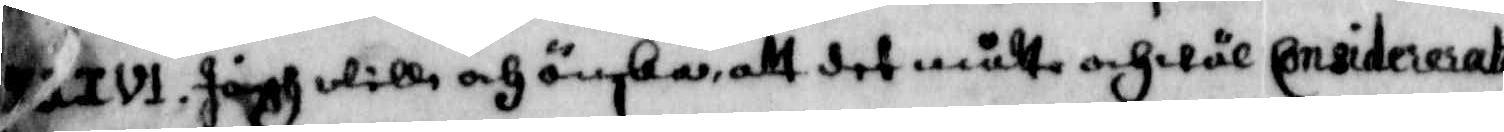XXIVI. Jagh wille och önska, att det måtte och wäl Considererat
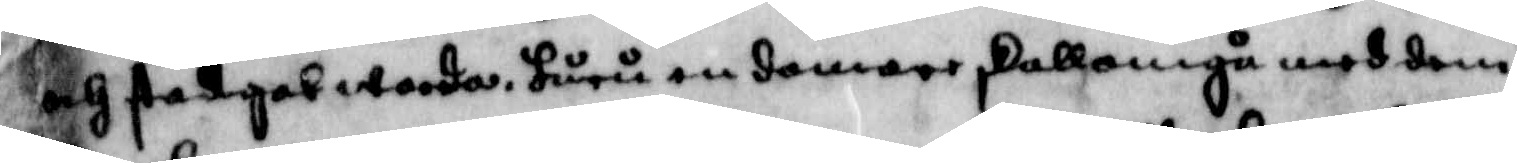och stadgat warder, huru en domare skall omgå med dem
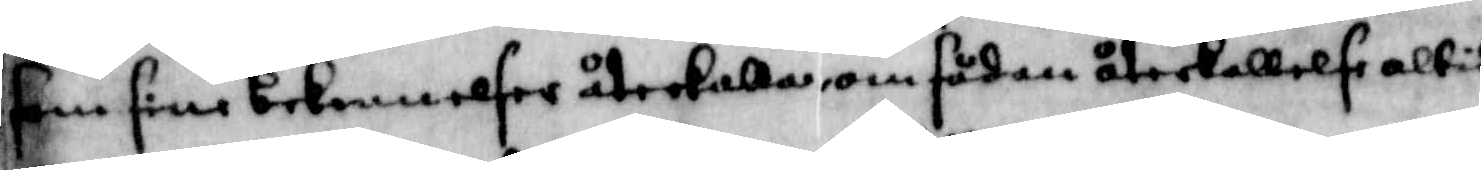som sine bekennelser återkalla, om sådan återkallelse altid
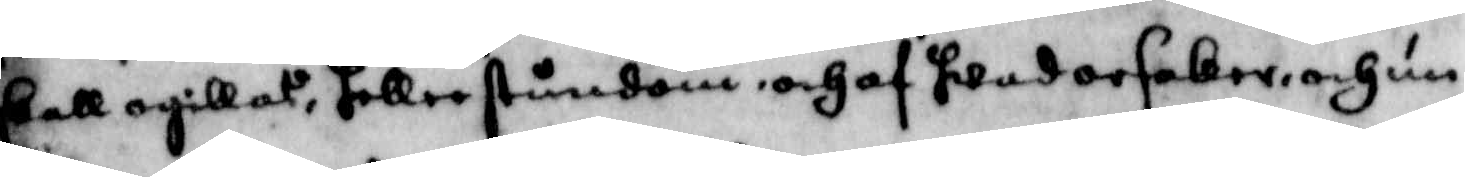skall ogillas, heller stundom, och af hwad orsaker och un¬
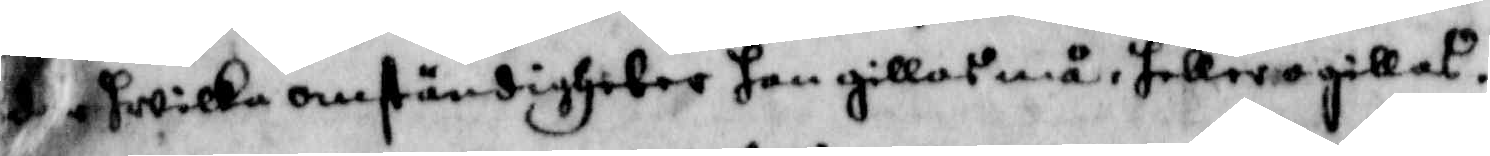k hwilka omständigheter han gillas må, heller gillas.
